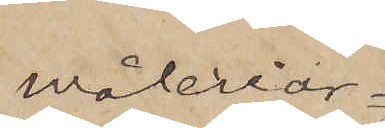Måleriar¬
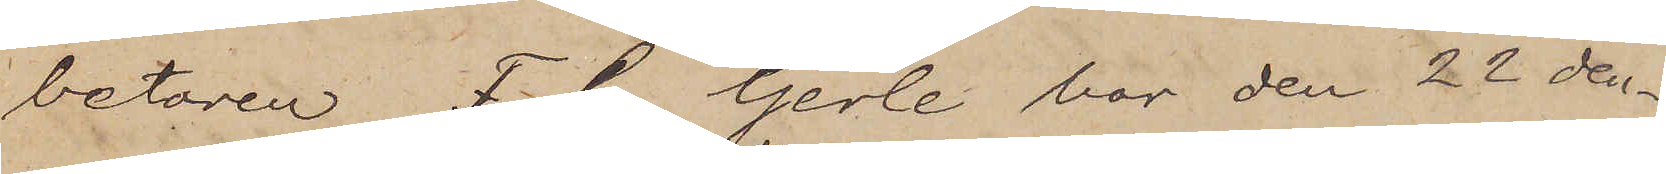betaren F. G. Gerle har den 22 den¬
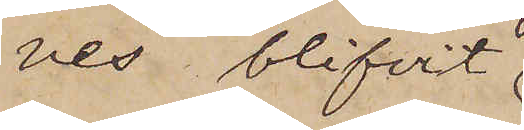nes blifvit
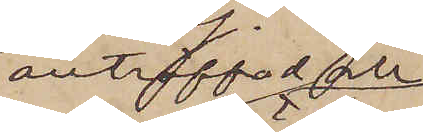anträffad och
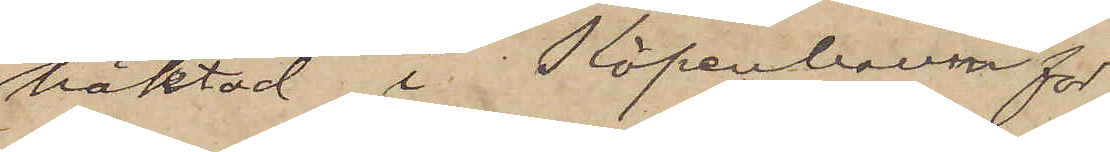häktad i Köpenhamn för
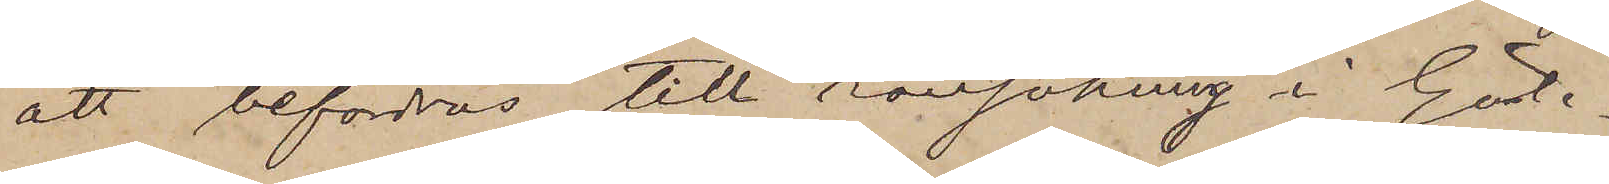att befordras till ransakning i Göte¬
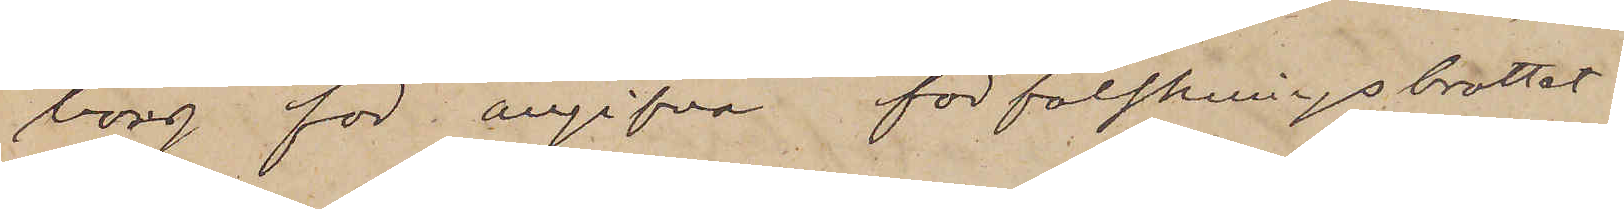borg för angifna förfalskningsbrottet.
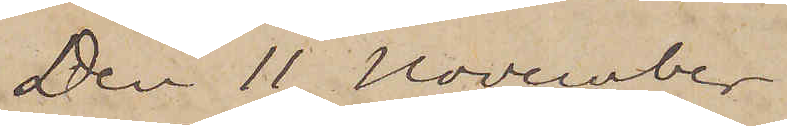Den 11 November
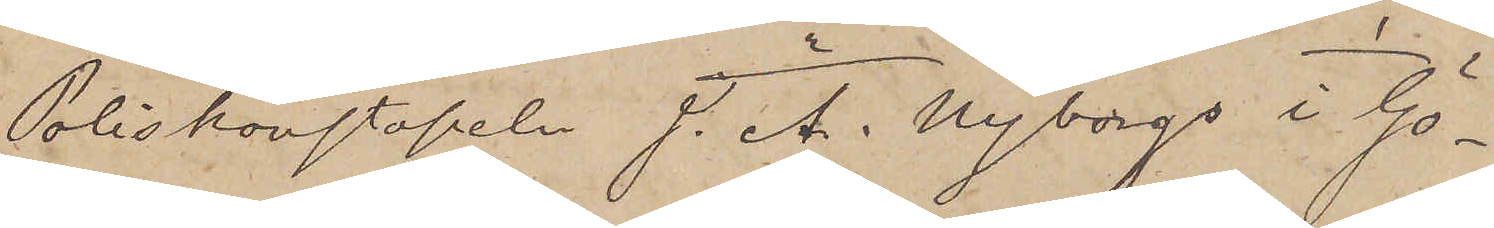Poliskonstapeln J. A. Nyborgs i Gö¬
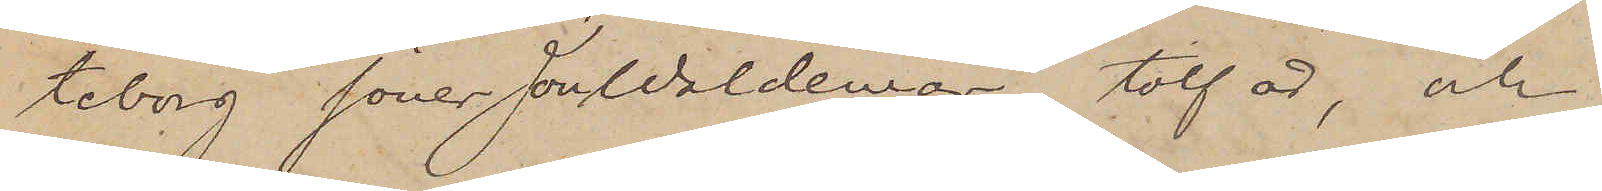teborg söner Jon Waldemar, tolf år, och
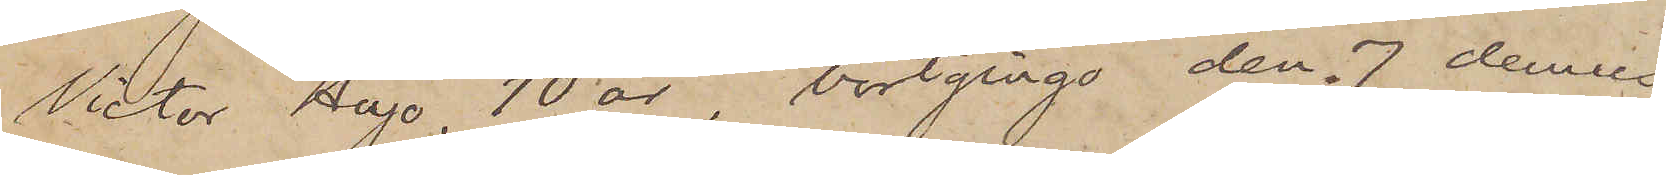Victor Hugo 10 år, bortgingo den 7 dennes
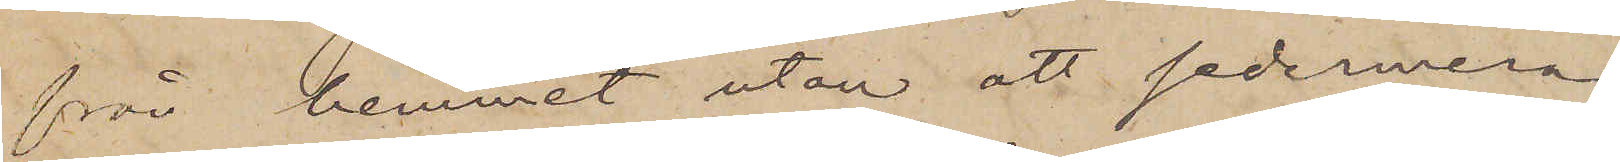från hemmet, utan att sedermera
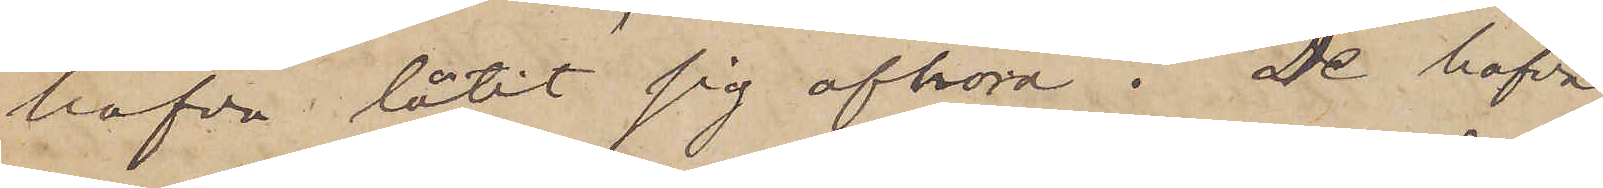hafva låtit sig afhöra. De hafva
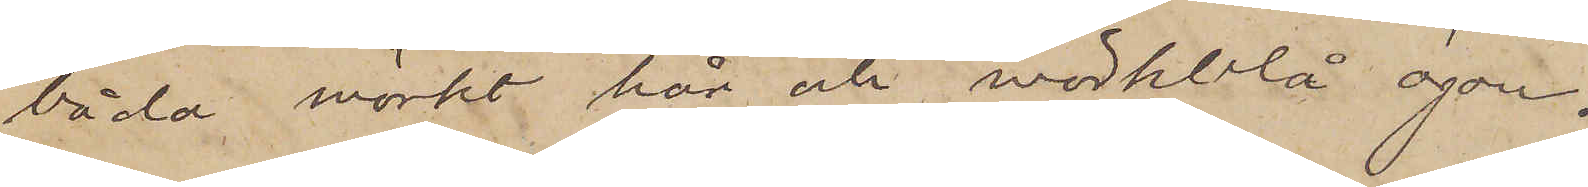båda mörkt hår och mörkblå ögon.
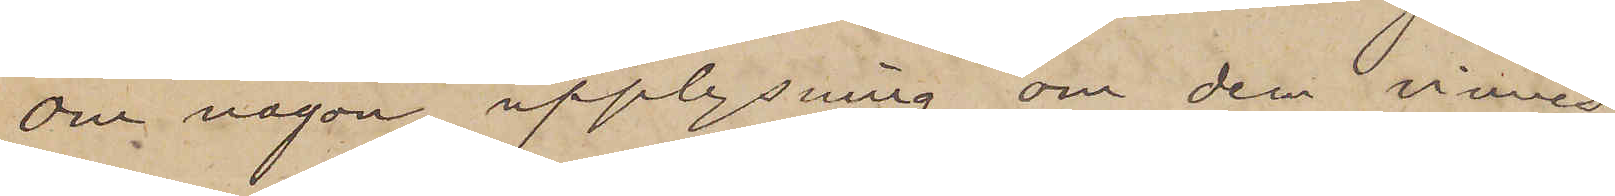Om någon upplysning om dem vinnes,
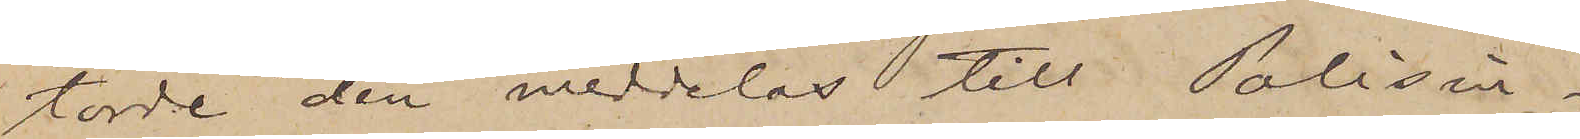torde den meddelas till Polisin¬
